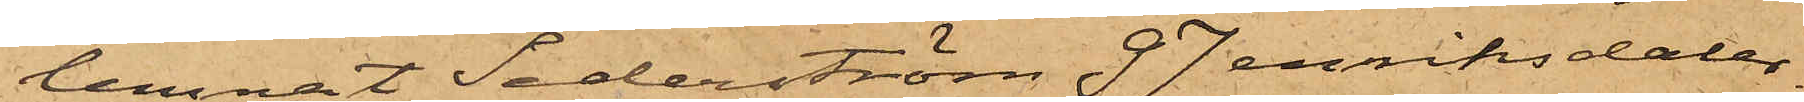lemnat Sederström 97 enriksdaler¬
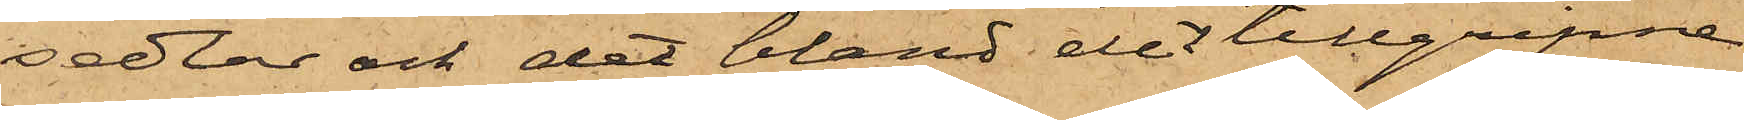sedlar och det bland det tillgripne
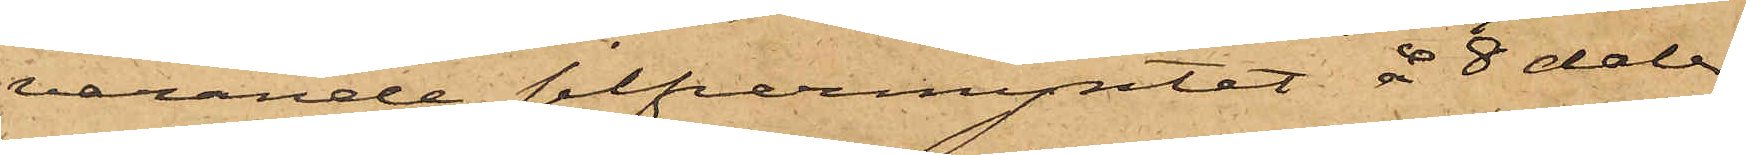varande silfvermyntet å 8 daler,
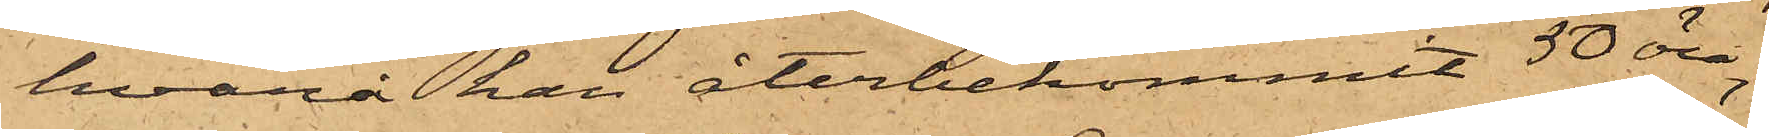hvarå han återbekommit 50 öre;
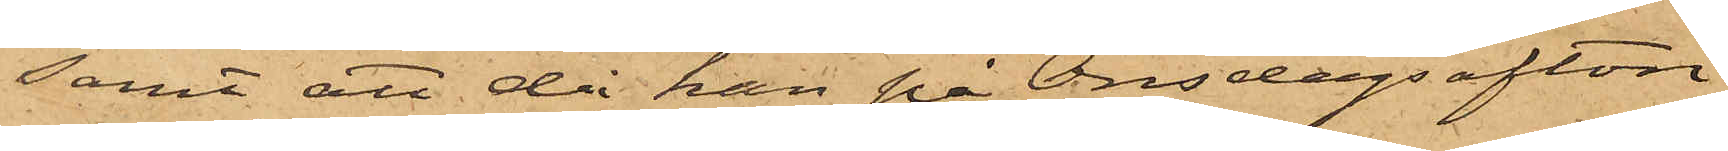samt att då han på Onsdags afton
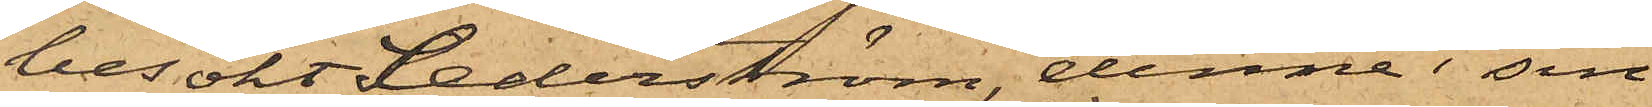besökt Sederström, denne i sin
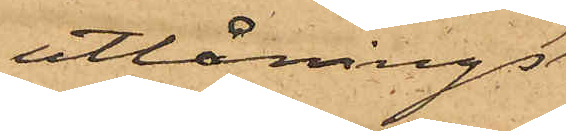utlånings¬
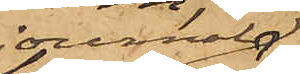journal
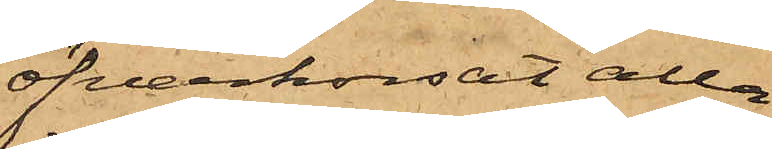öfverkorsat alla
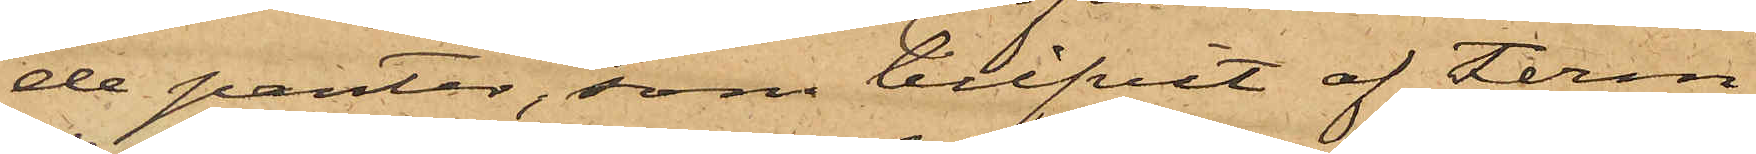de panter, som blifvit af Ferm
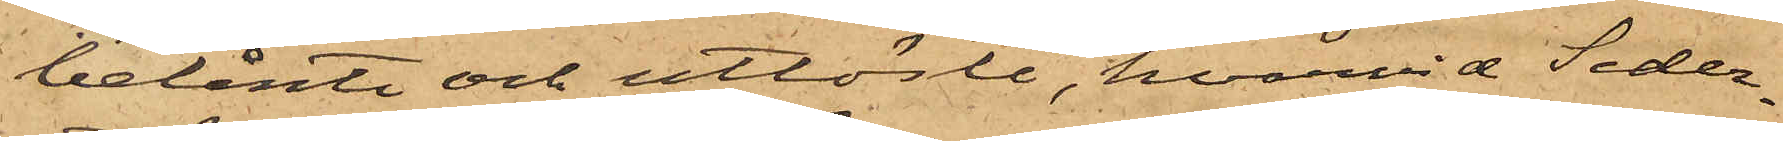belånte och utlöste, hvarvid Seder¬
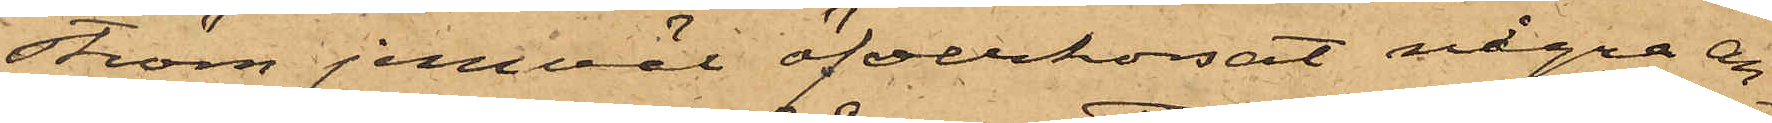ström jemväl öfverkorsat några an¬
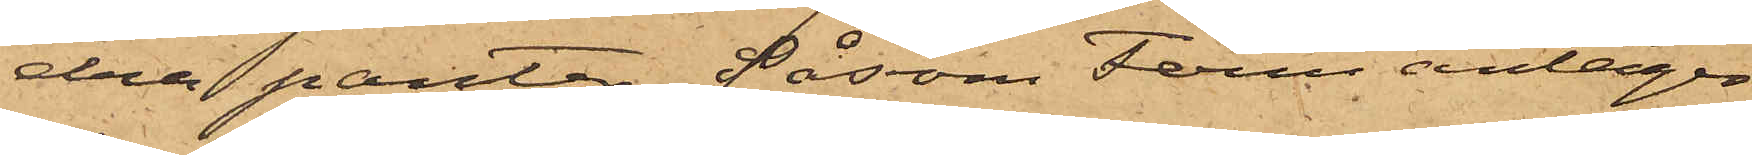dra panter såsom Ferm antager
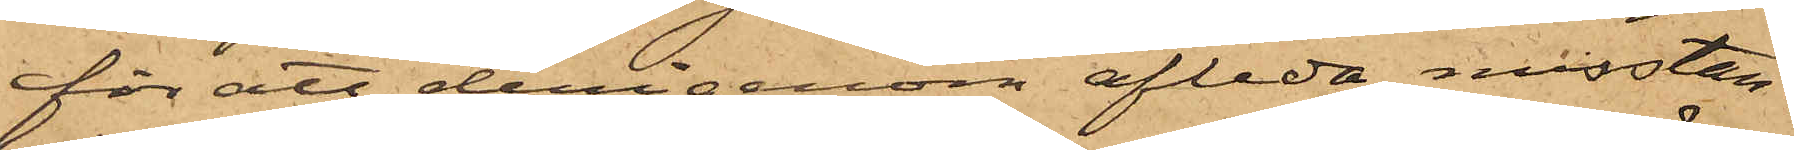för att derigenom afleda misstan¬
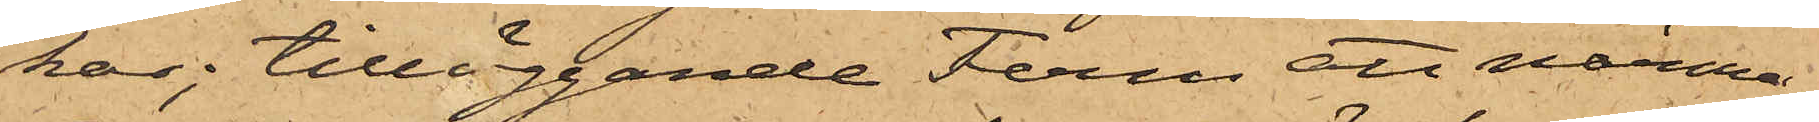kar; tilläggande Ferm att närma¬
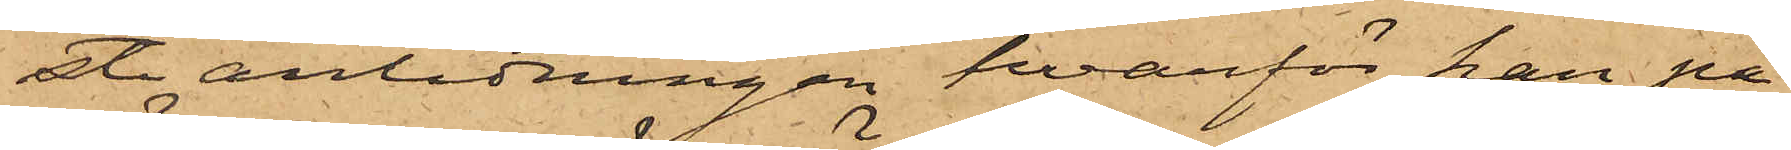ste anledningen hvarför han på
